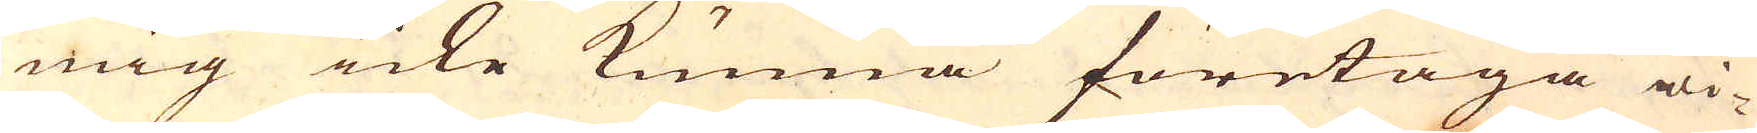mig icke kunna företaga wi-
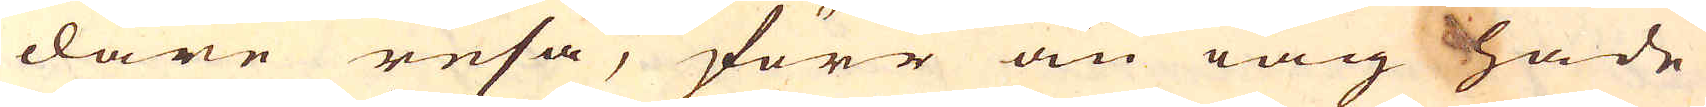dare resa, förr än iag hade
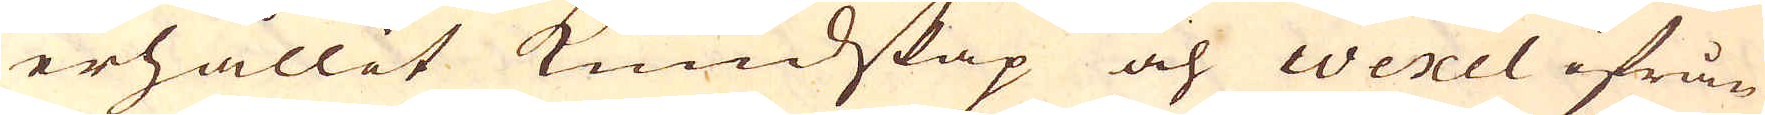erhållit kundskap och wexel ifrån
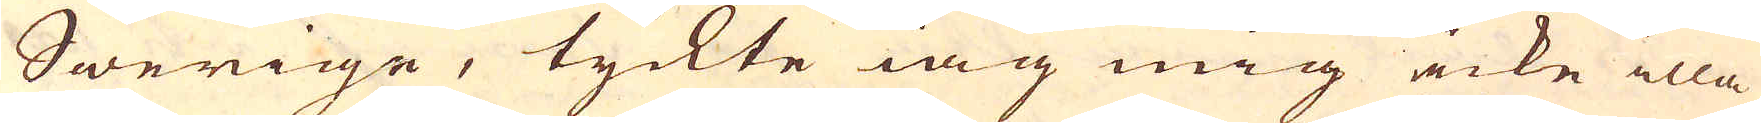Swerige, tyckte iag mig icke illa
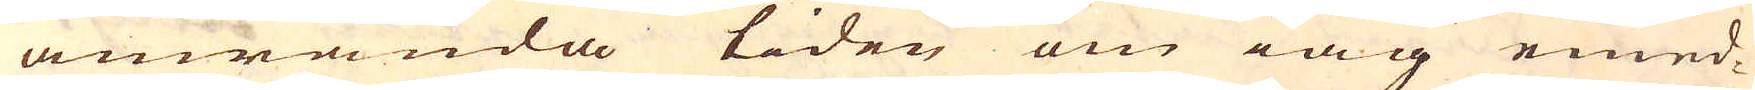anwända tiden om iag emed-
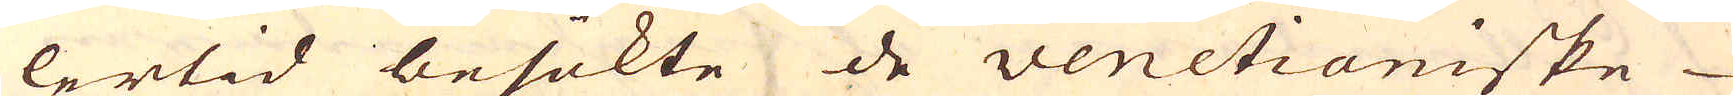lertid besökte de venetianiske
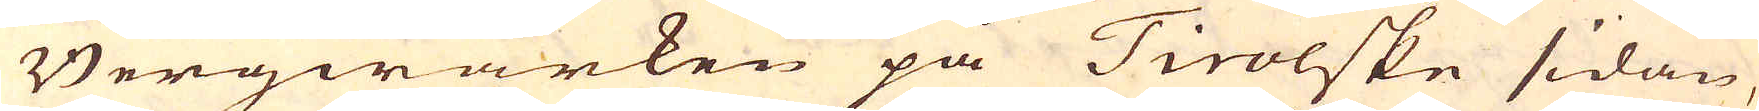Bergwärken på Tirolske sidan,
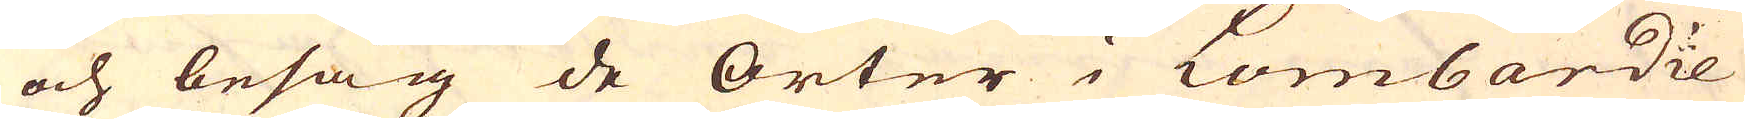och besåg de orter i Lombardie
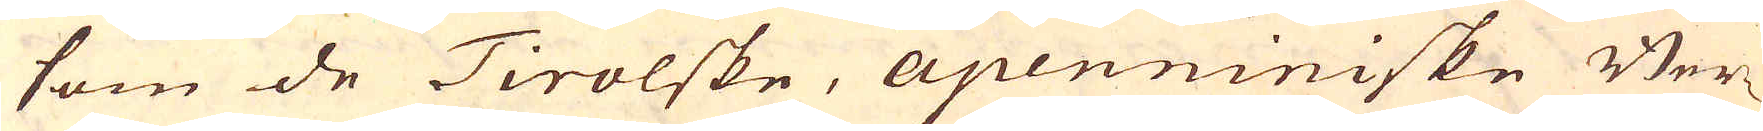som de Tirolske, apenniniske Ber-
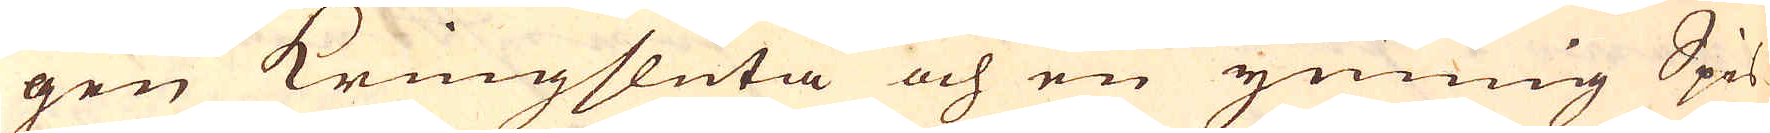gen kringsluta och en ymnig Spis-
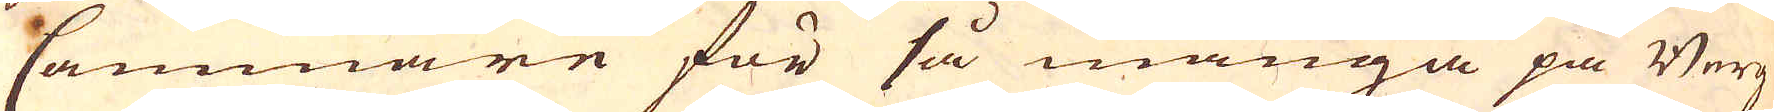Cammare för så många på Berg-
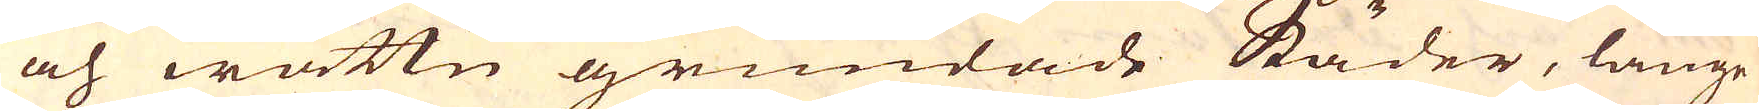och wattn grundade Städer, länge
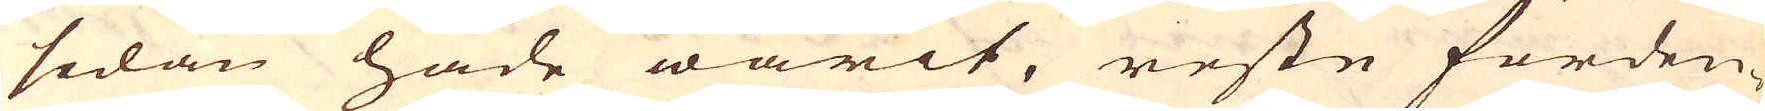sedan hade warit, reste förden-
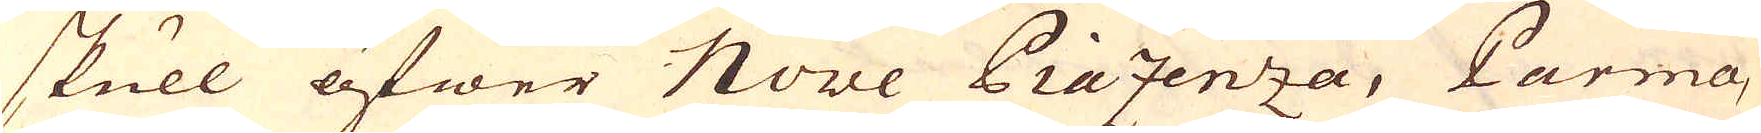skull öfwer Nove Piazenza, Parma,
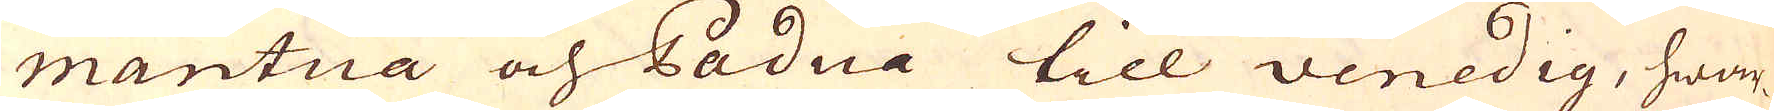Mantua och Padua till Venedig, hwar-
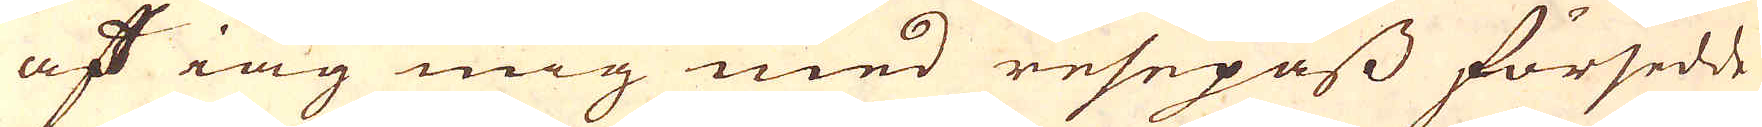af iag mig med resepass försedde
